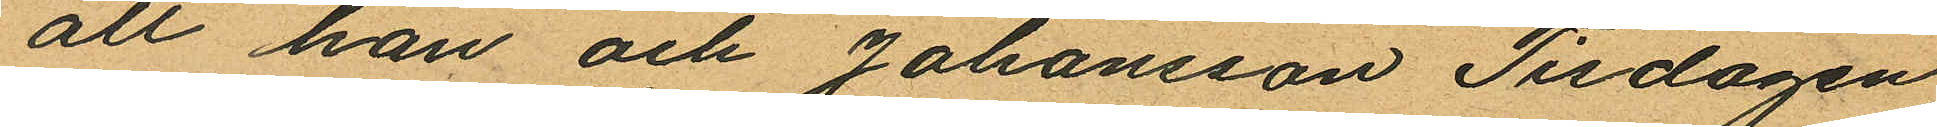att han och Johansson Tisdagen
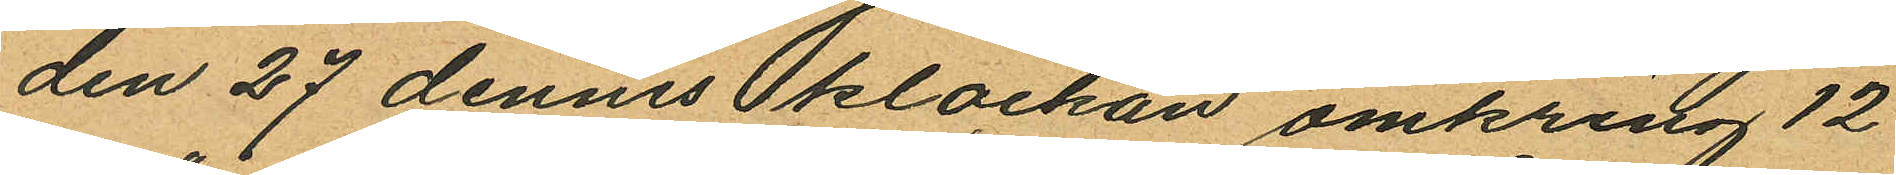den 27 dennes klockan omkring 12
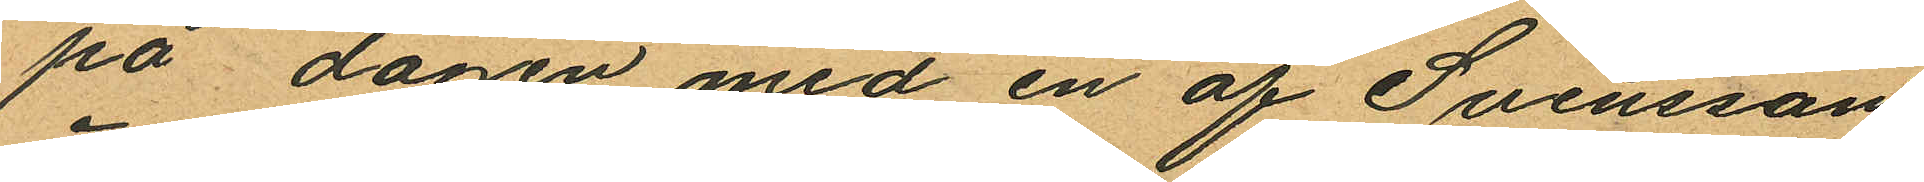på dagen med en af Svensson
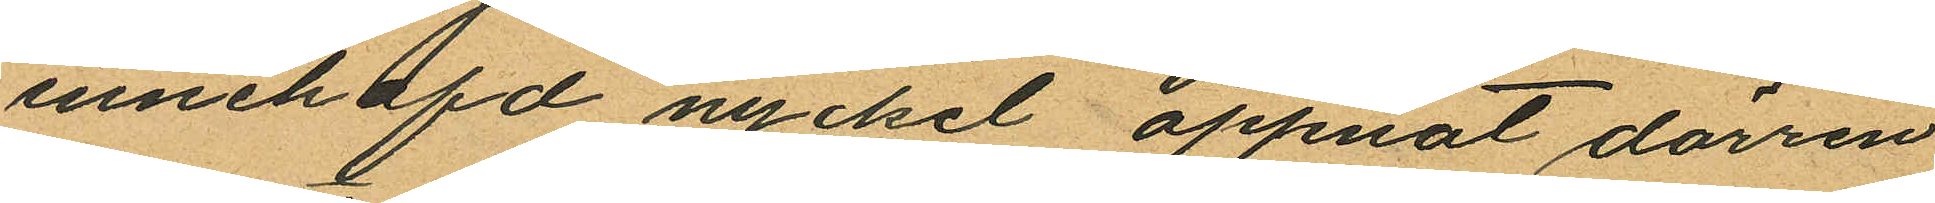innehafd nyckel öppnat dörren
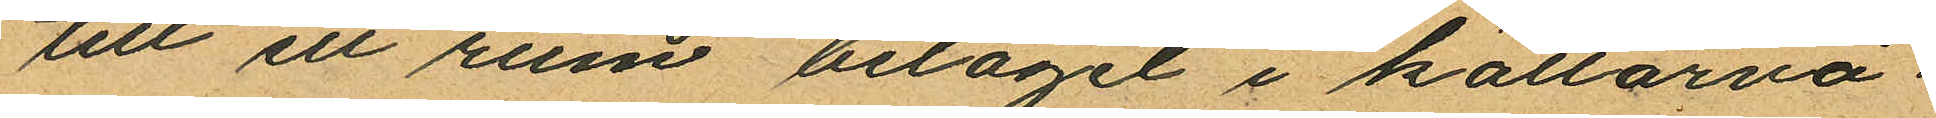till ett rum beläget i källarvå
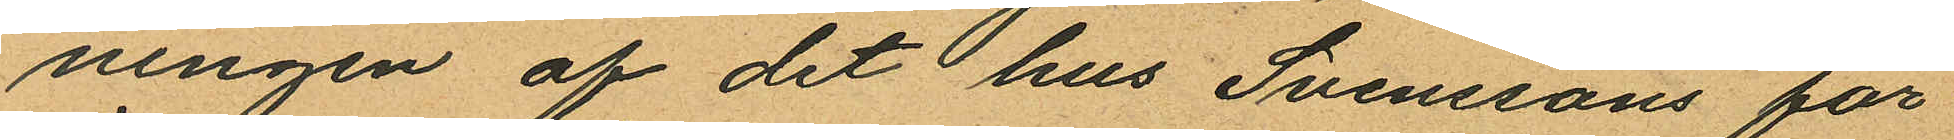ningen af det hus Svenssons för
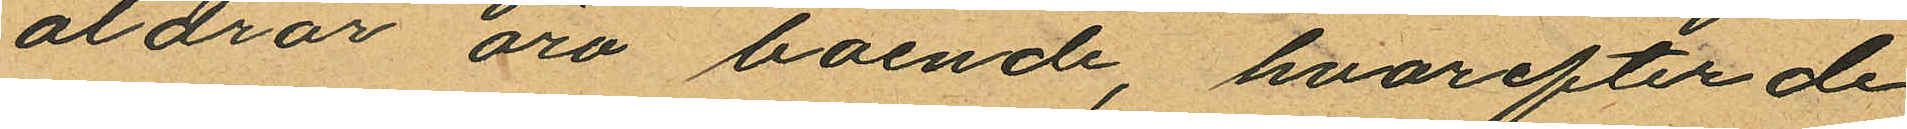äldrar äro boende, hvarefter de
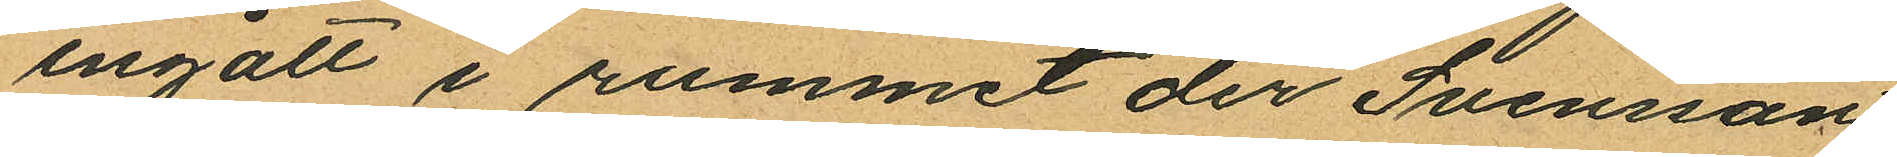ingått i rummet der Svensson
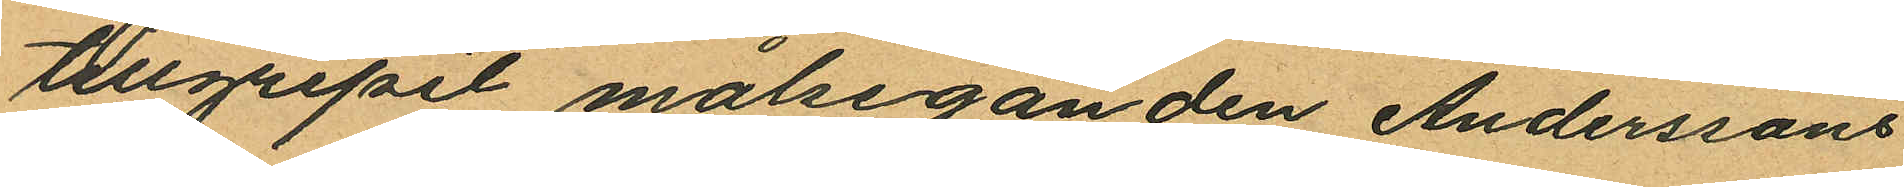tillgripit målseganden Anderssons
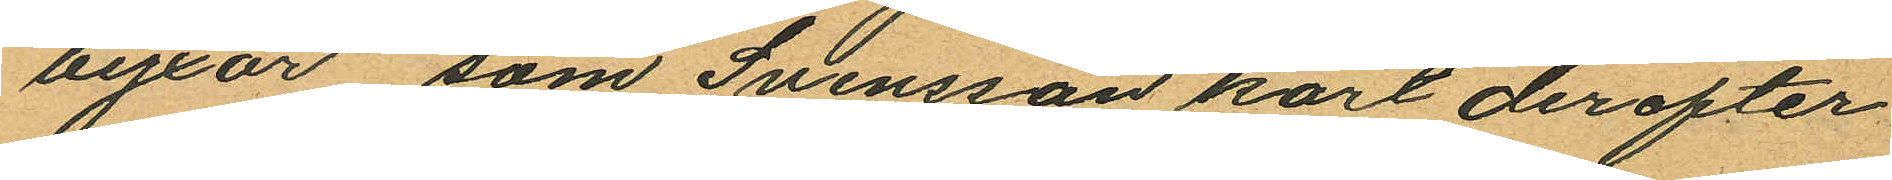byxor, som Svensson kort derefter
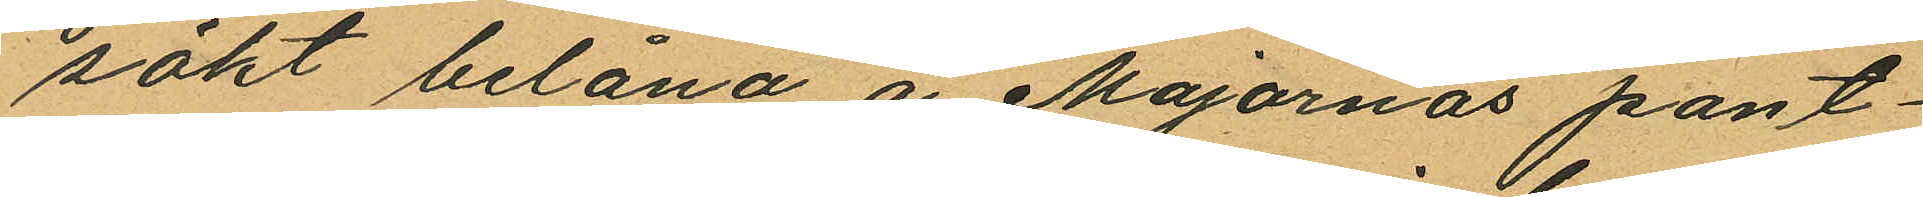sökt belåna å Majornas pant¬
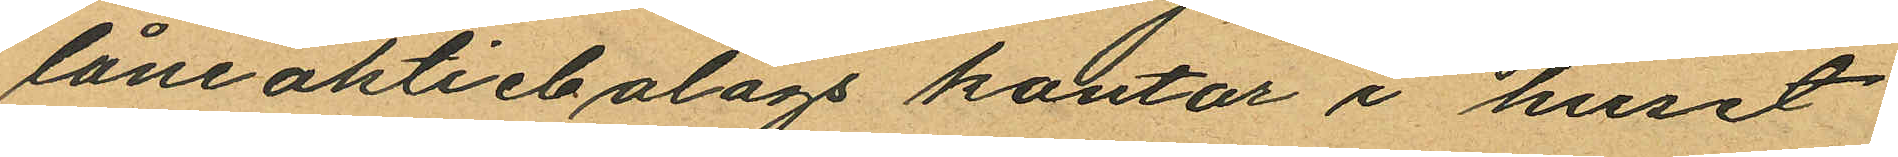låneaktiebolags kontor i huset
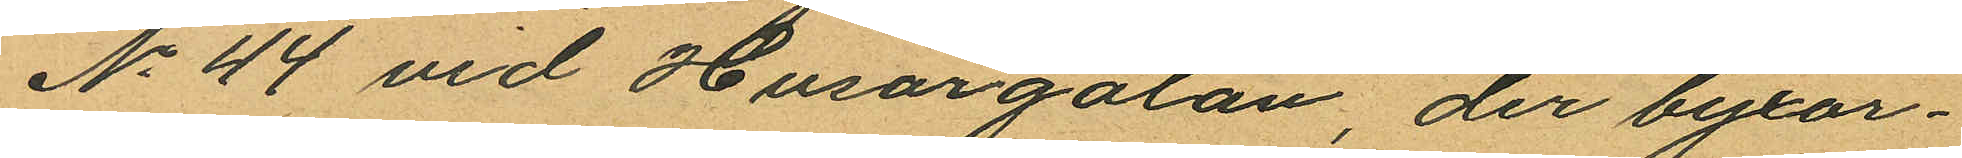No 44 vid Husargatan, der byxor¬
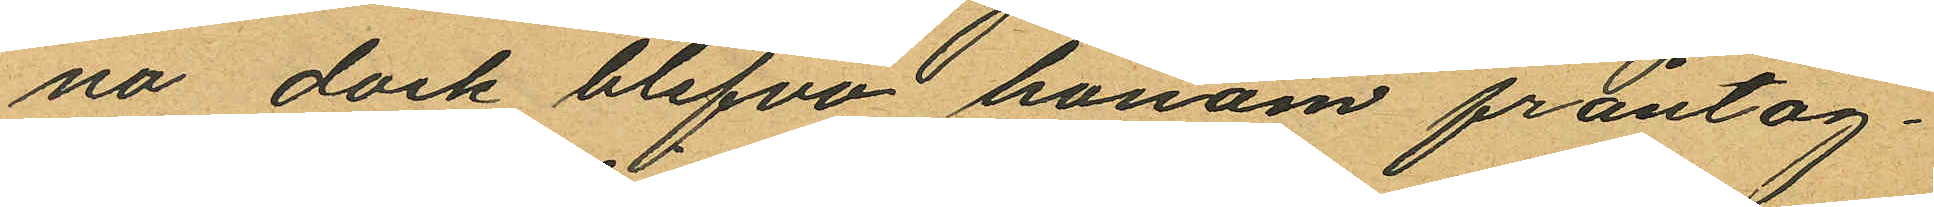na dock blefvo honom fråntag¬
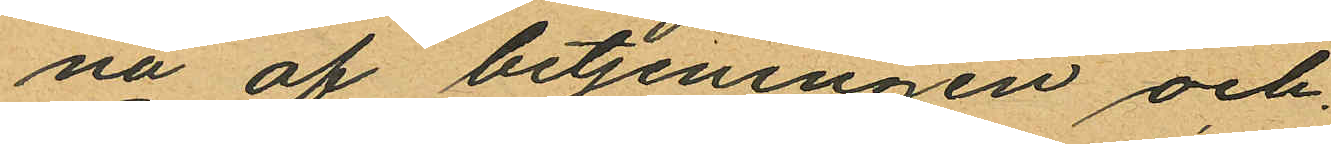na af betjeningen och
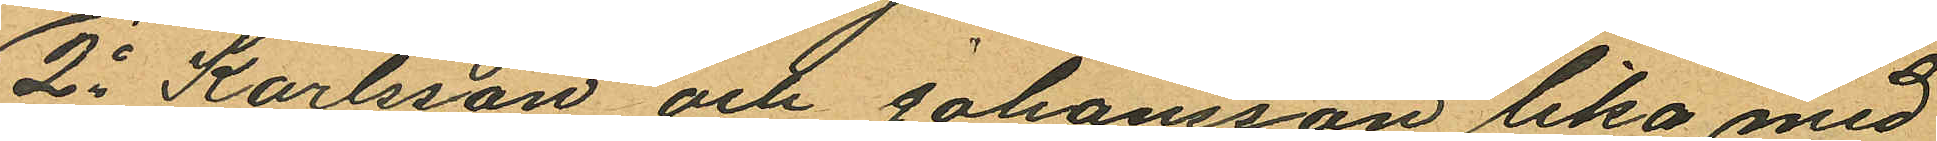2o Karlsson och Johansson lika med
